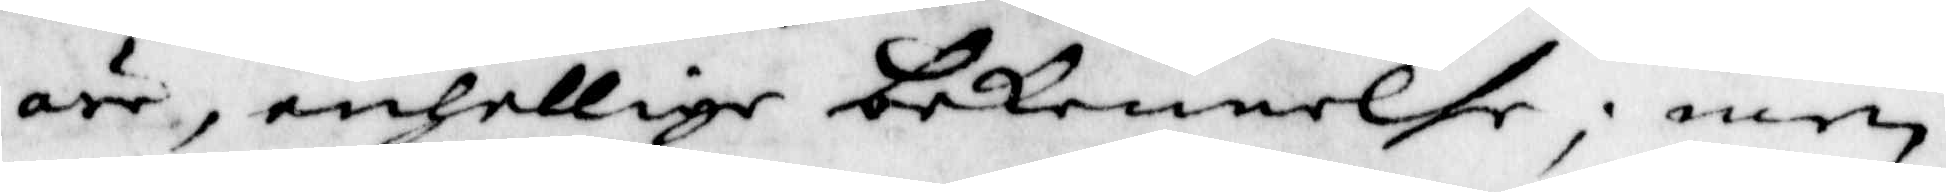äre, enhellige bekennelse; men
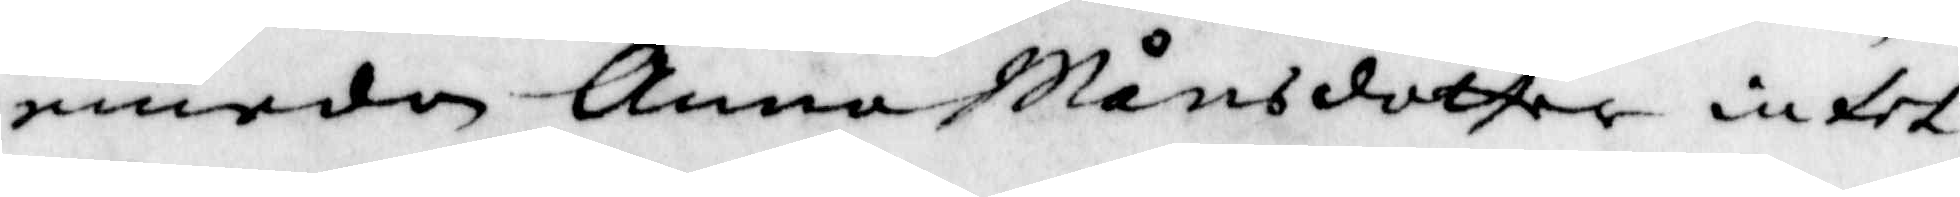emedan Anna Månsdotter intet
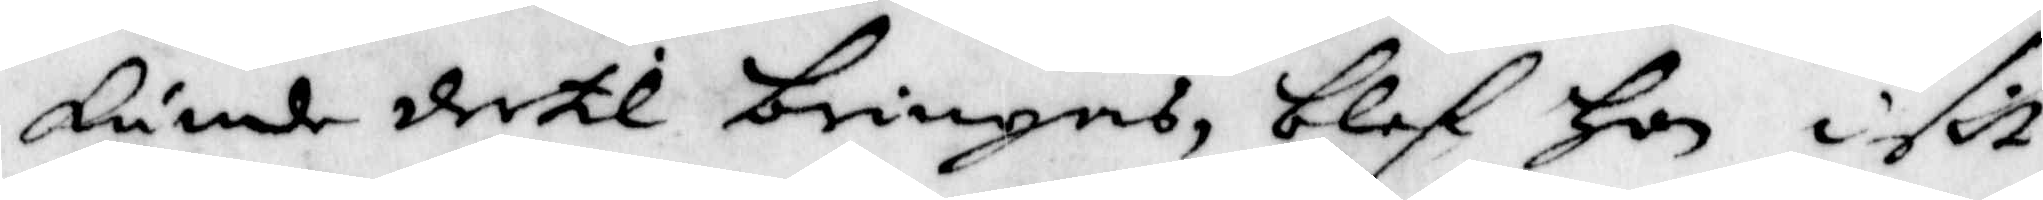kunde dertil bringas, blef hon i sit
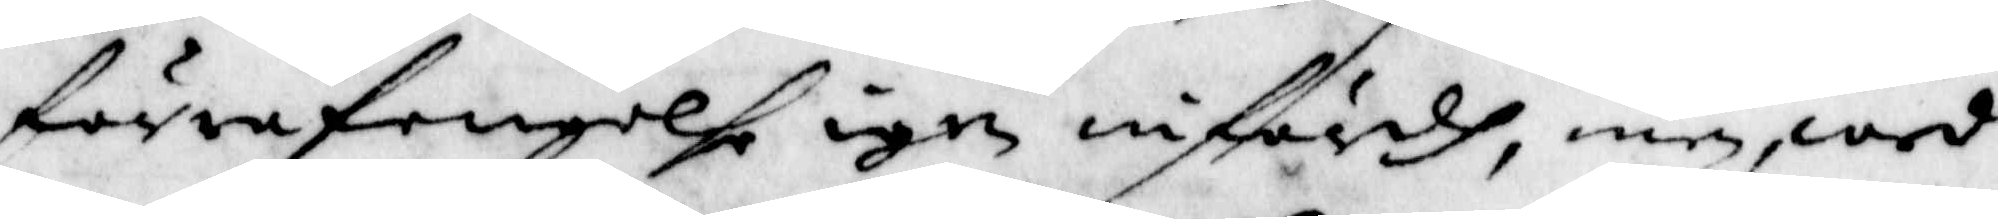förra fengelse igen infördh, men wed
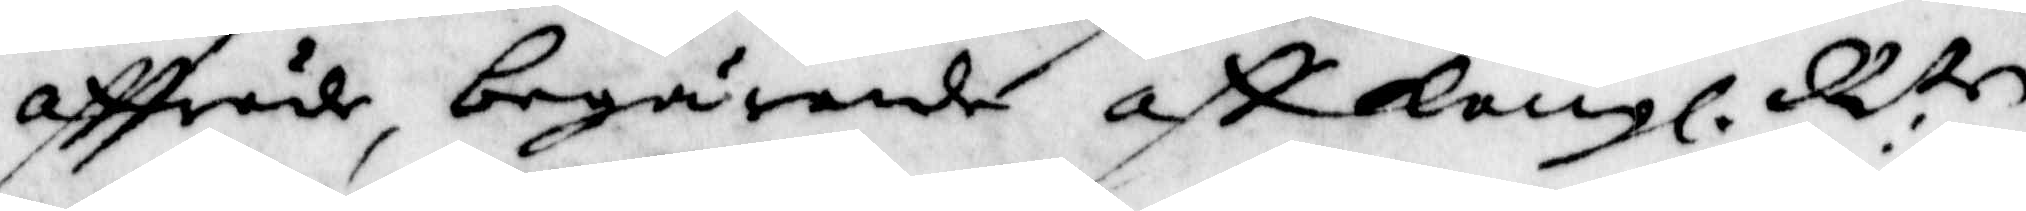affträde, begärande aff Kongl. R:tn
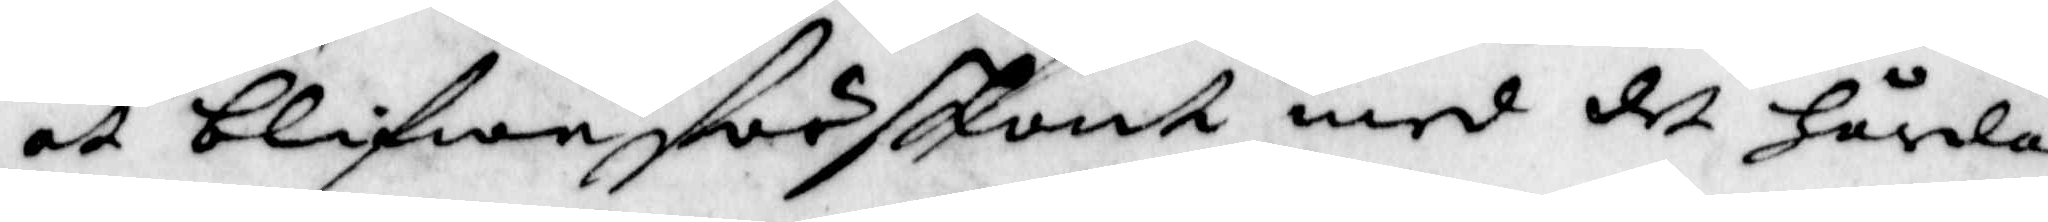at blifwa förskont med det hårda
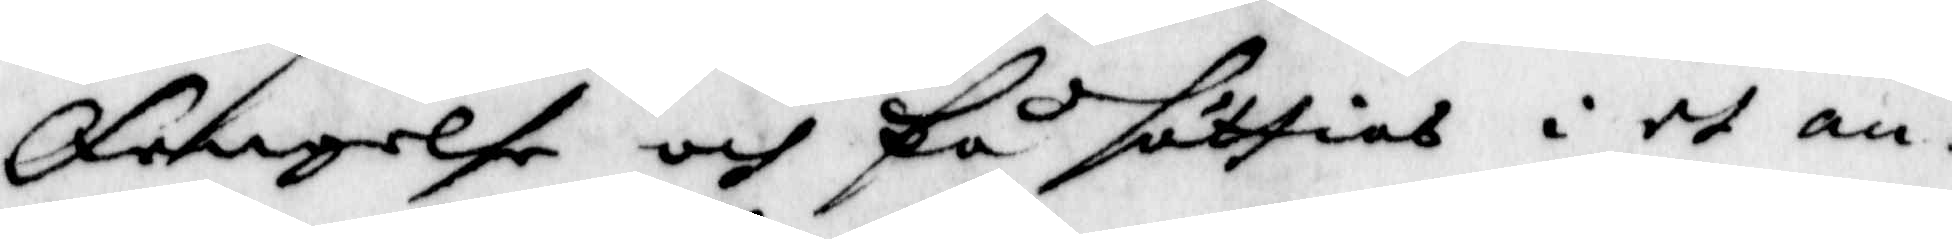fengelse och få sättias i et an¬
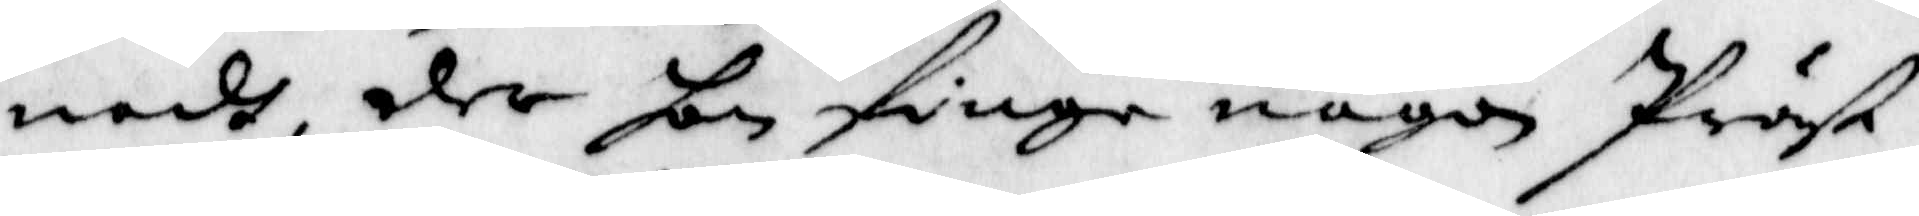nadt, der hon finge någon Präst
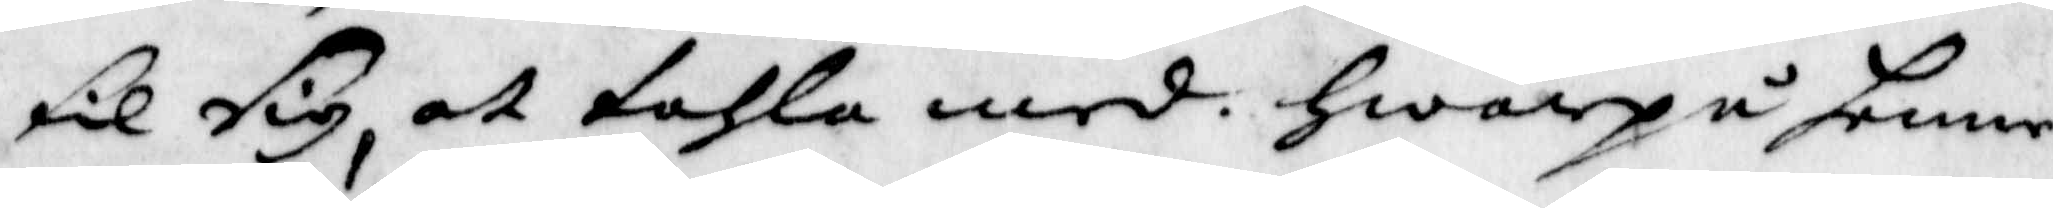til sig, at tahla med. hwarpå henne
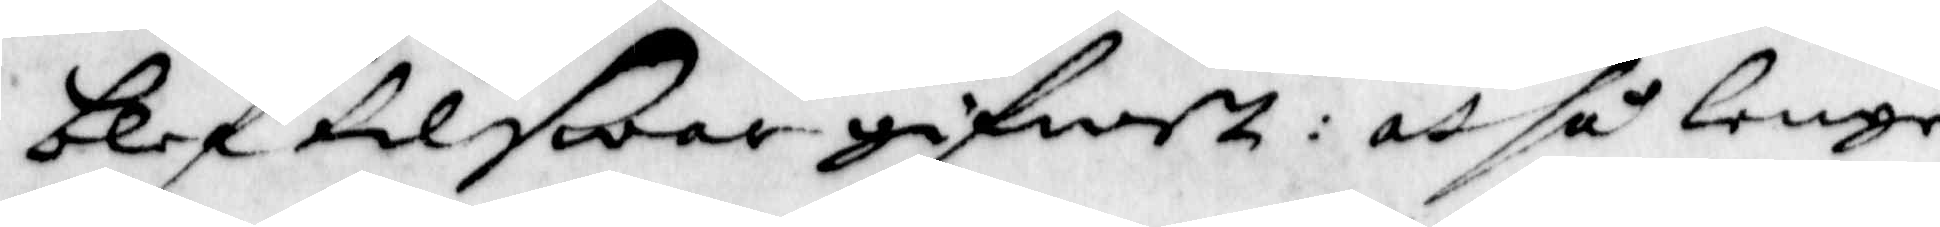blef tilswar gifwet: at så lenge
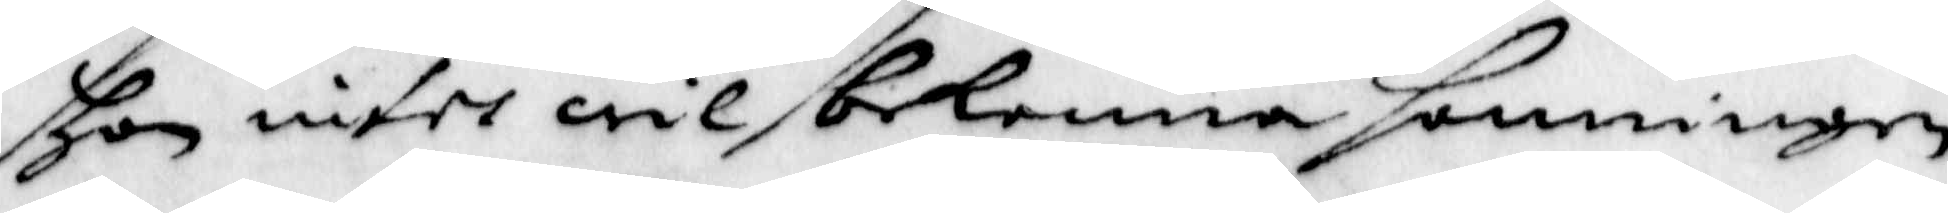hon intet wil bekenna sanningen
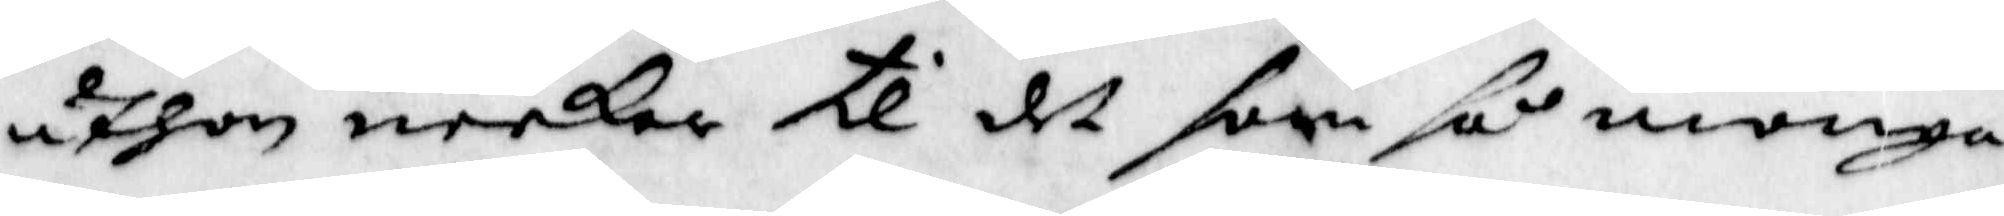uthan neekar til det som så monga
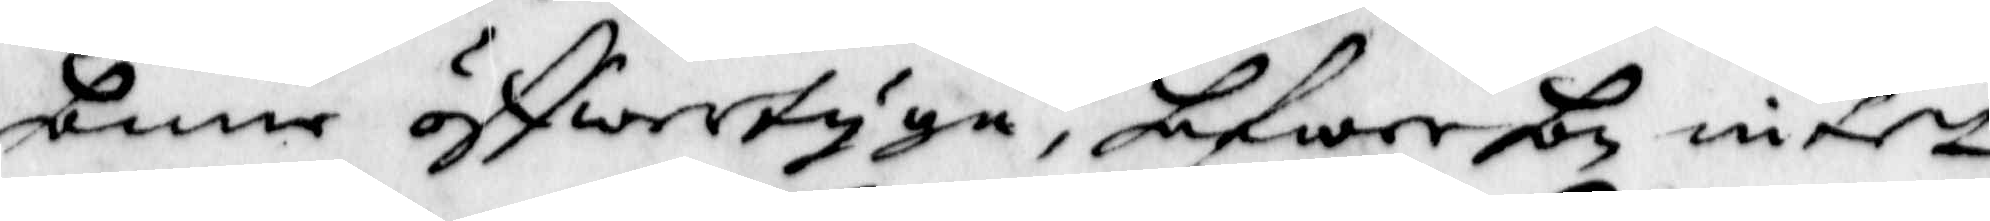henne öffwertyga, hafwer hon intet
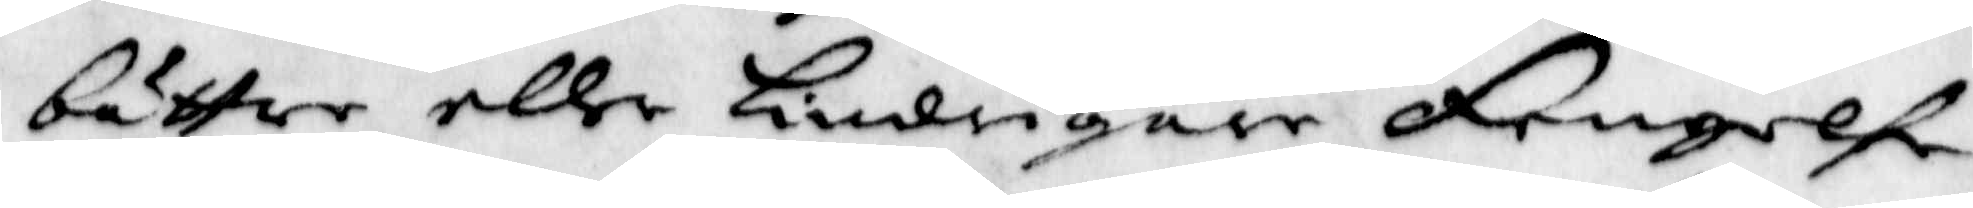bättre eller lindrigare fengelse
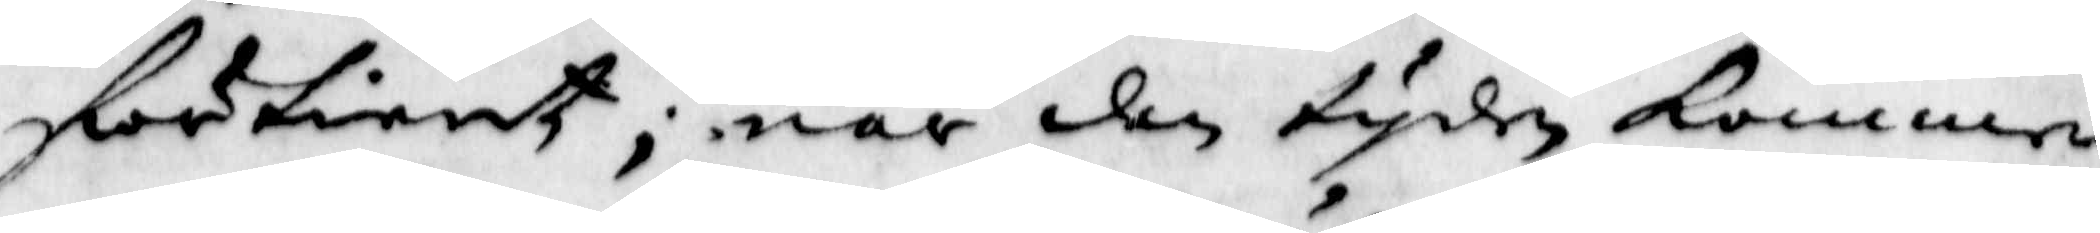förtient; när den tyden kommer
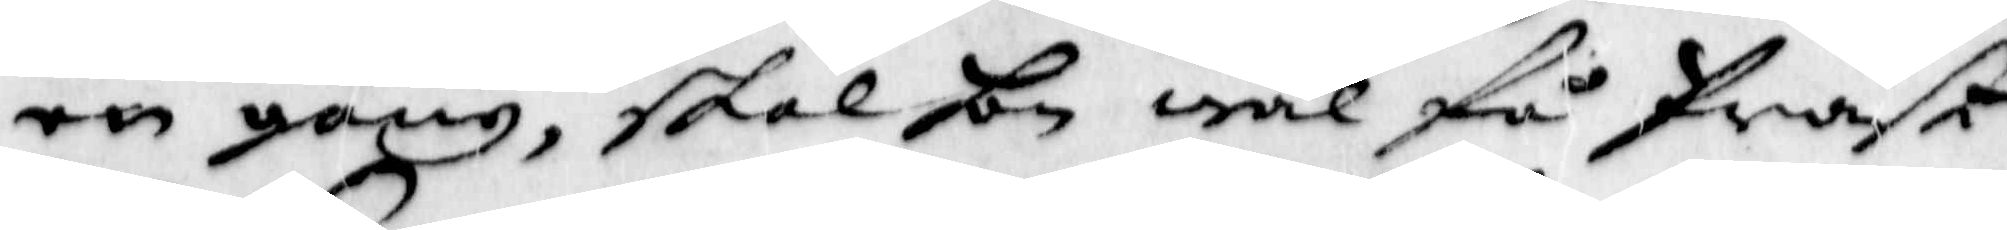en gång, skal hon wäl få Präst
